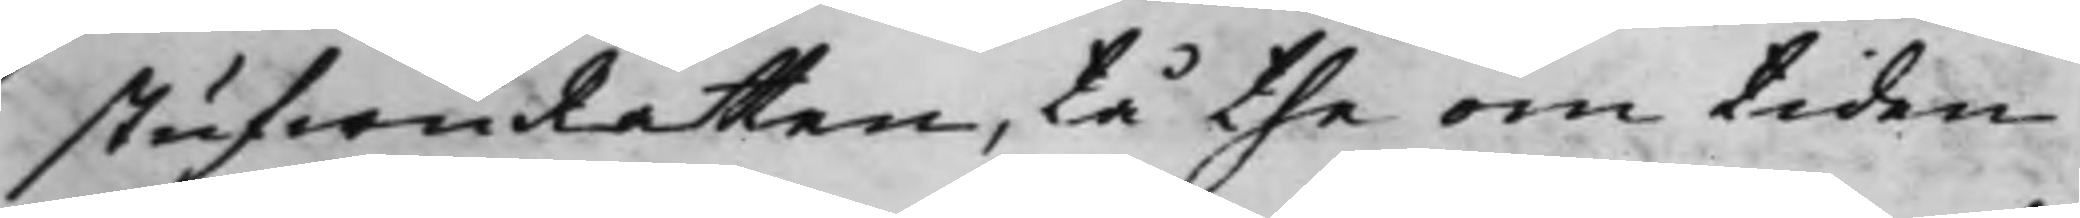stufwuRätten, tå the om tiden
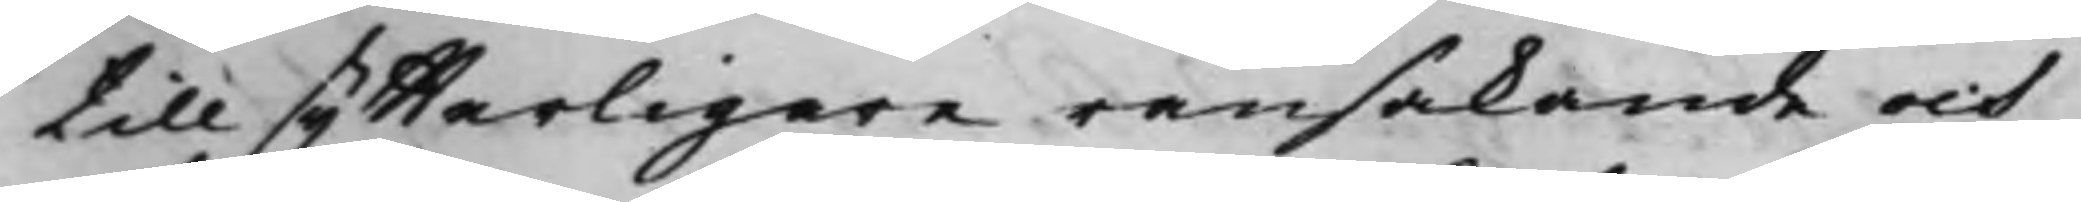till ytterligare ransakande och
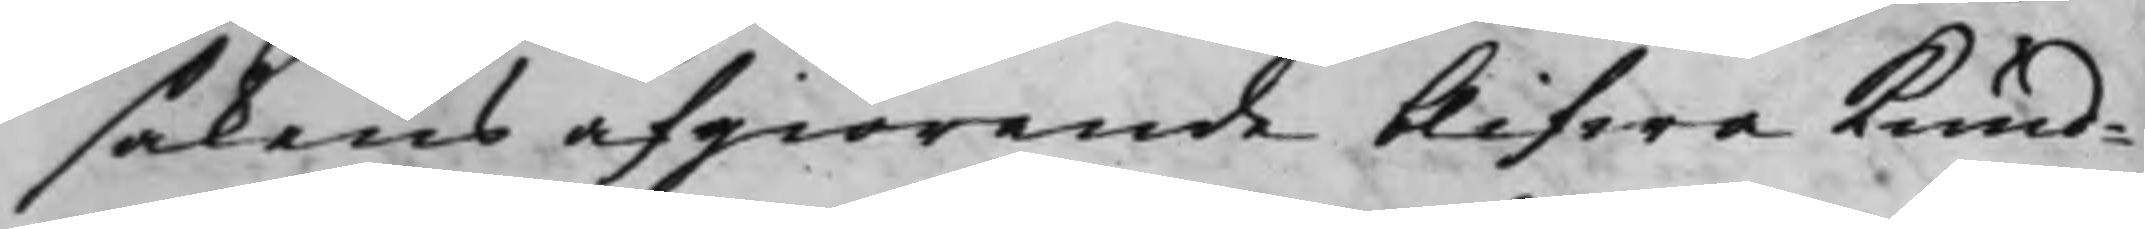sakens afgiörande blifwa kund¬
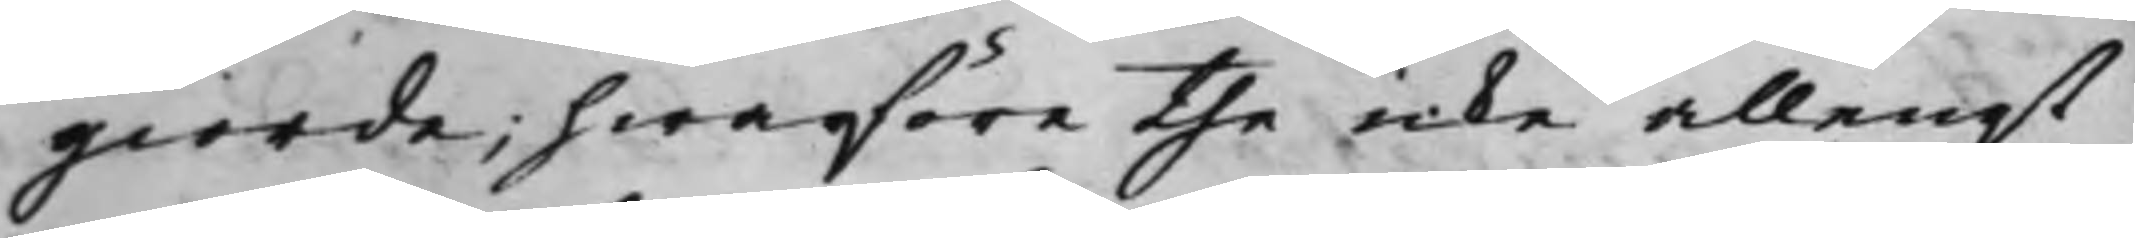giorde, hwarföre the icke allenast
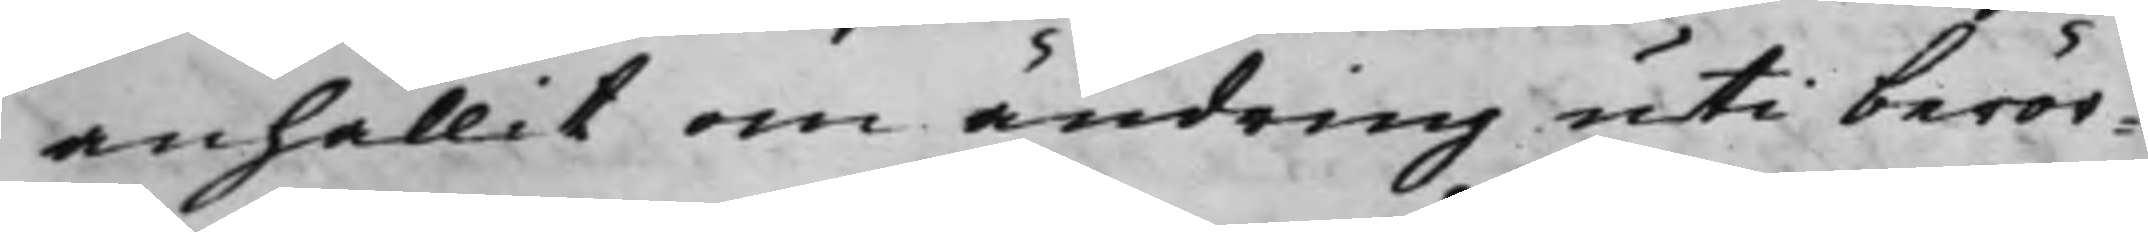anhållit om ändring uti berör¬
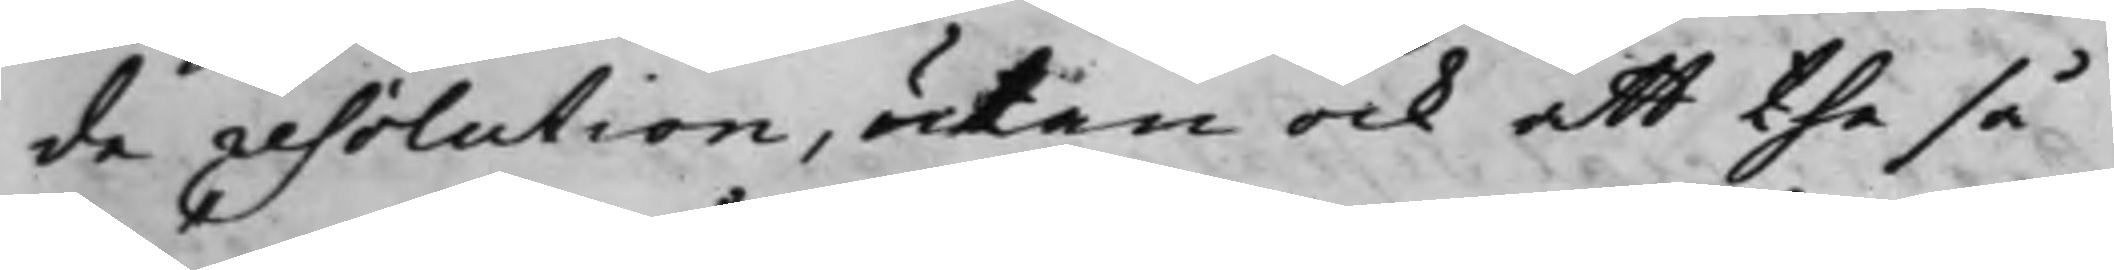de resolution, utan ock att the så
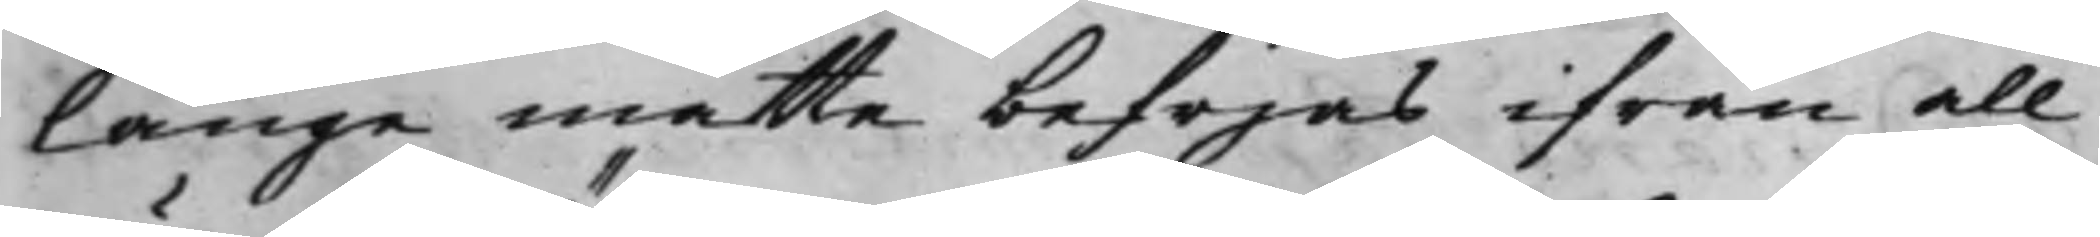länge måtte befrijas ifrån all
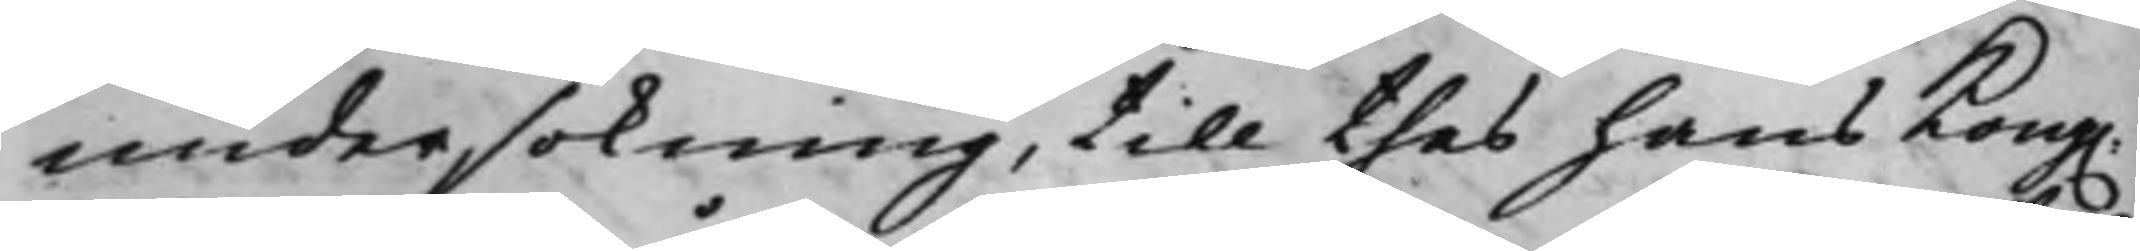undersökning, till thes hans Kong.
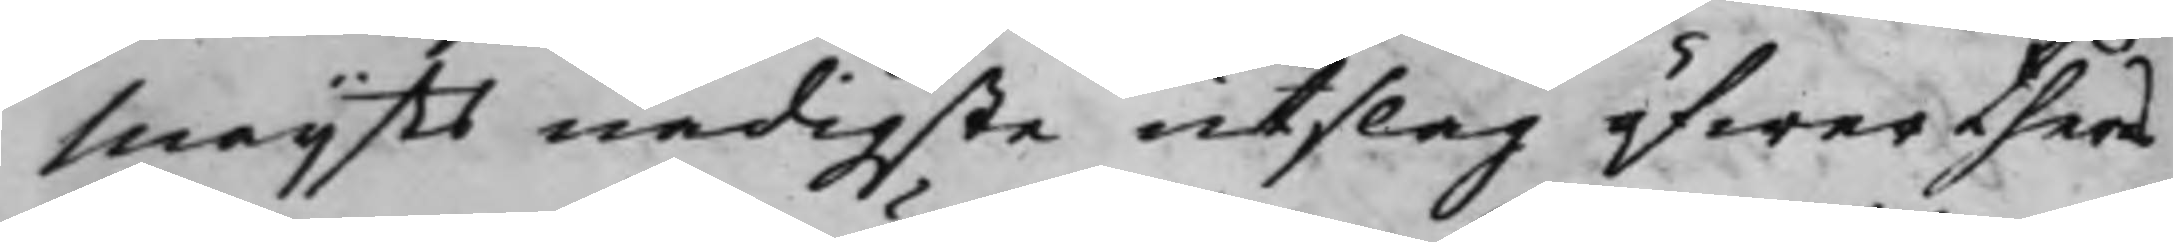Maijts nådigste utslag öfwer theras
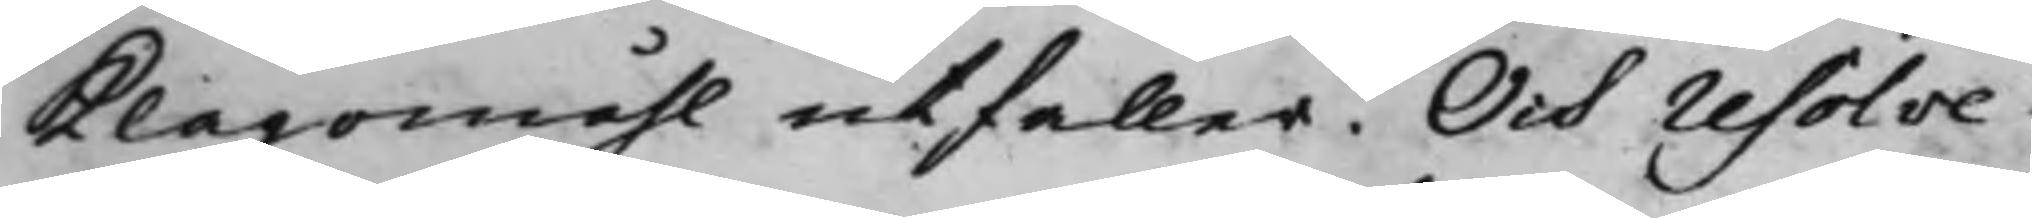klagomåhl utfaller. Och resolve¬
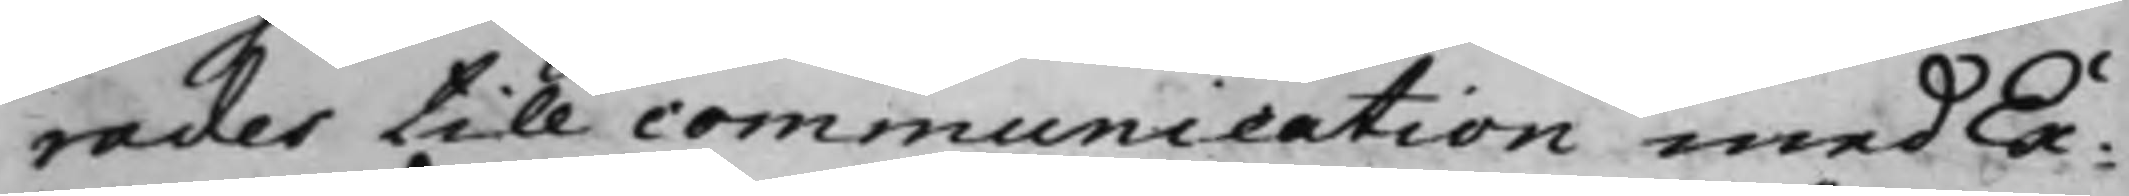rades till communication med Ex¬
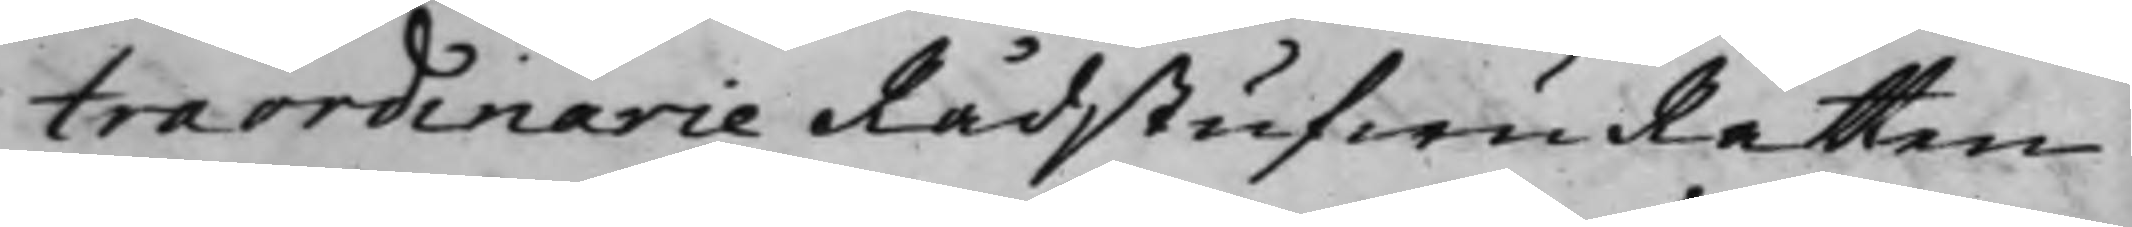traordinarie RådstufwuRätten
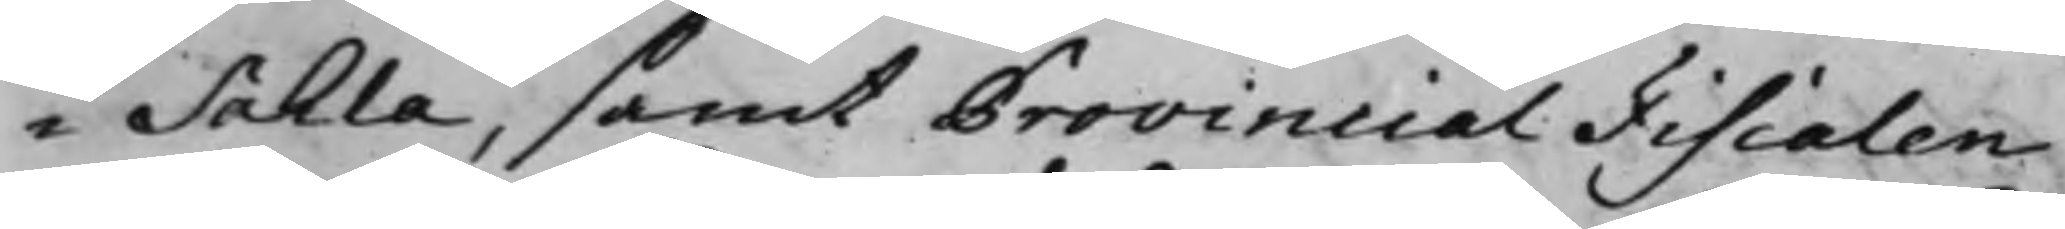i Sahla, samt Provincial Fiscalen
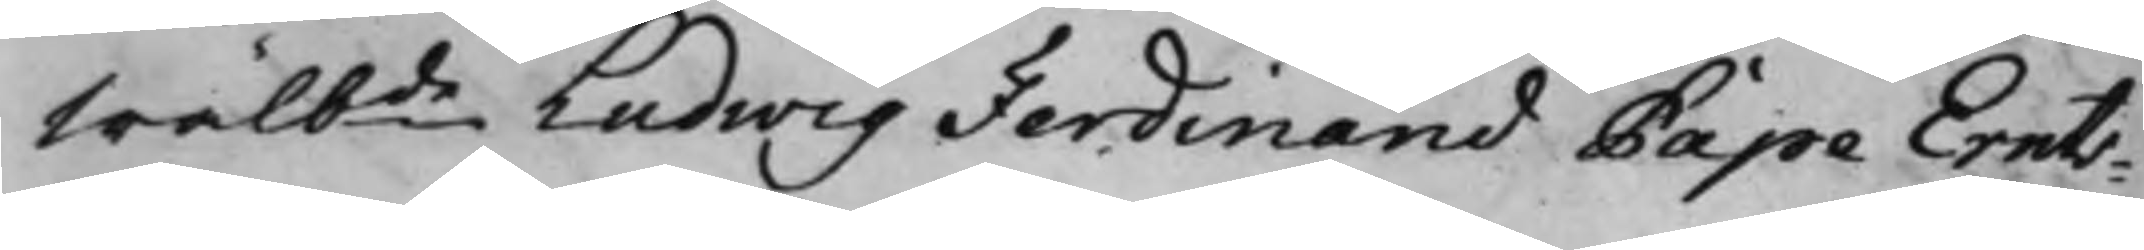Wälbde Ludwig Ferdinand Pape Ernts¬
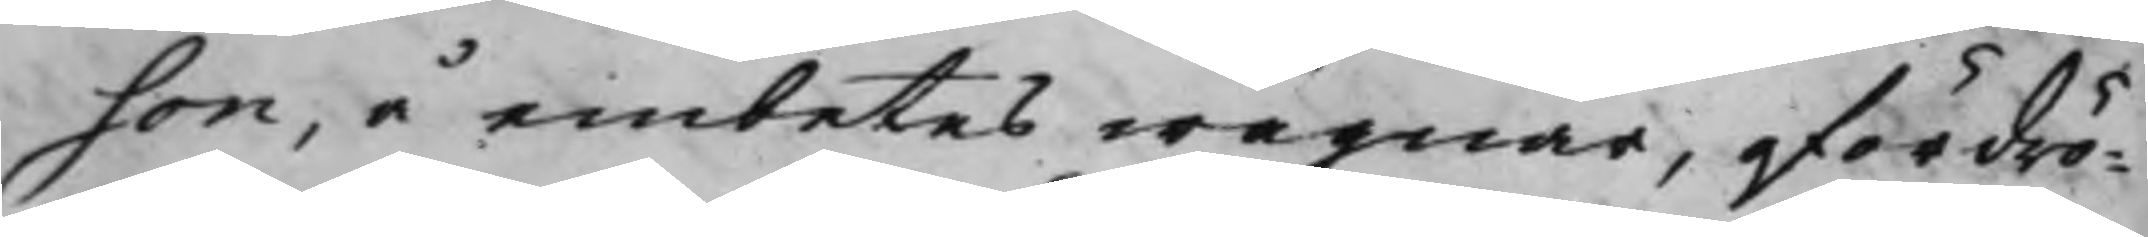son, å embetes wägnar, ofördrö¬
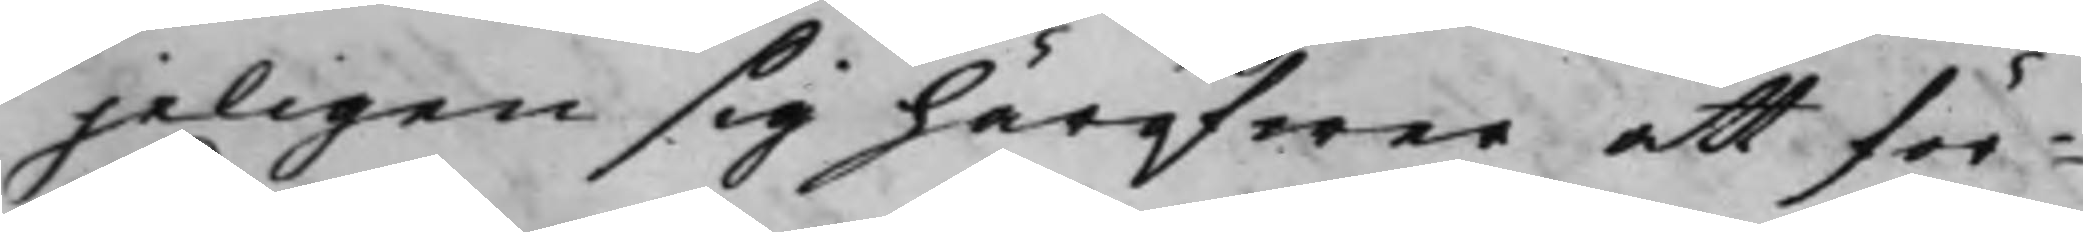jeligen sig häröfwer att för¬
